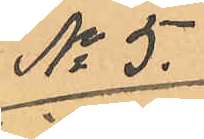No 5.
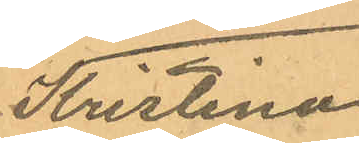Kristina
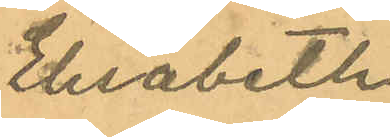Elisabeth
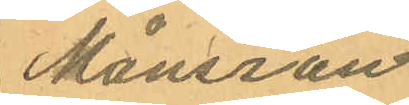Månsson.
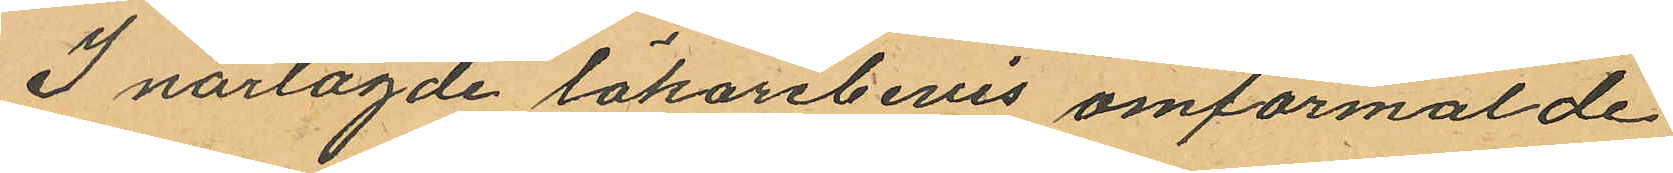I närlagde läkarebevis omförmålde
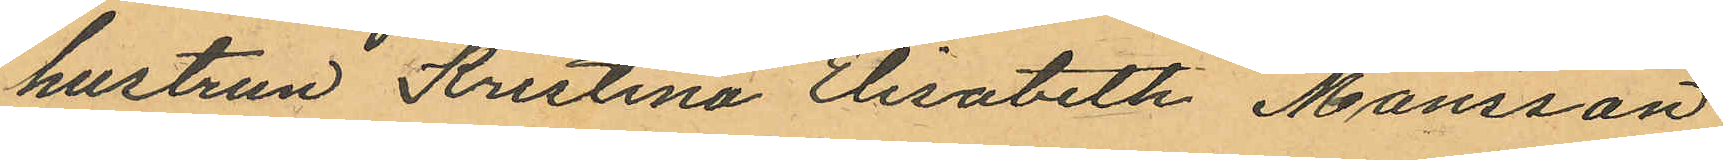hustrun Kristina Elisabeth Månsson
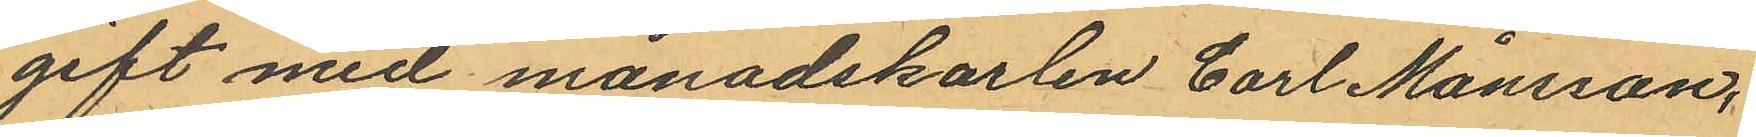gift med månadskarlen Carl Månsson,
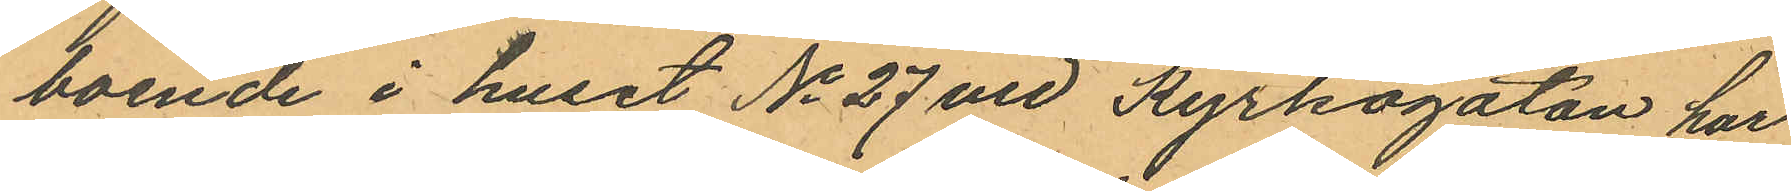boende i huset No 27 vid Kyrkogatan har
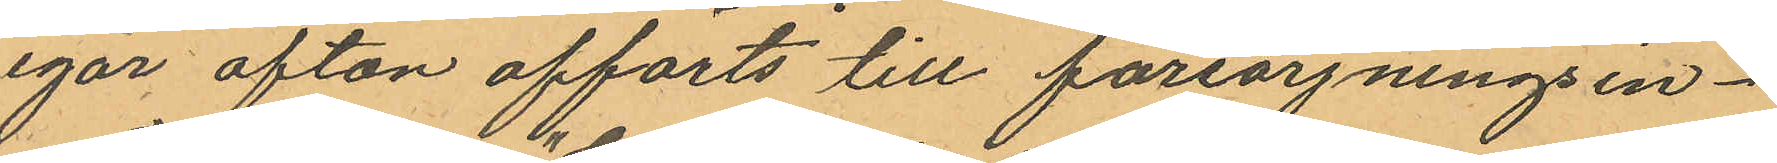igår afton afförts till försörjningsin¬
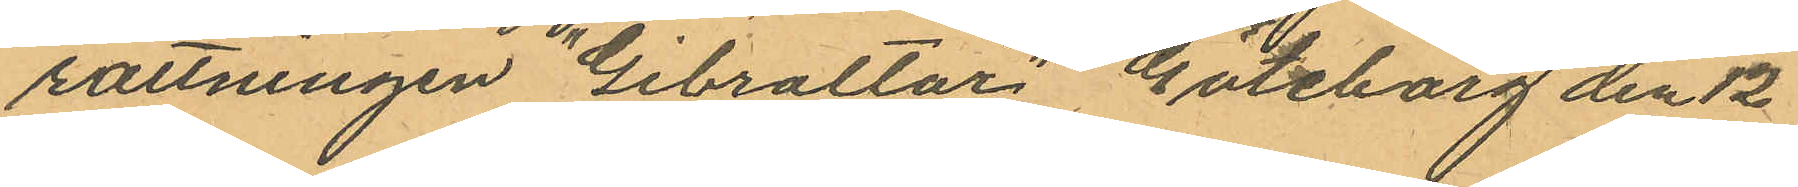rättningen "Gibraltar" Göteborg den 12
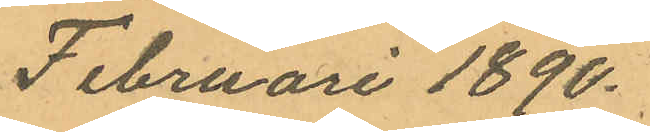Februari 1890.
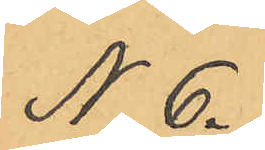No 6.
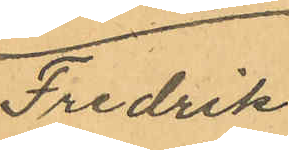Fredrik
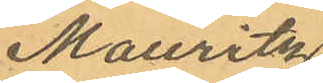Mauritz
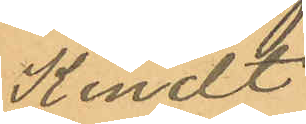Kindt
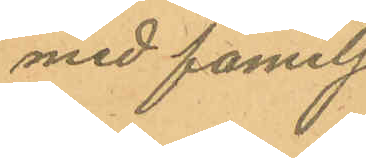med familj
